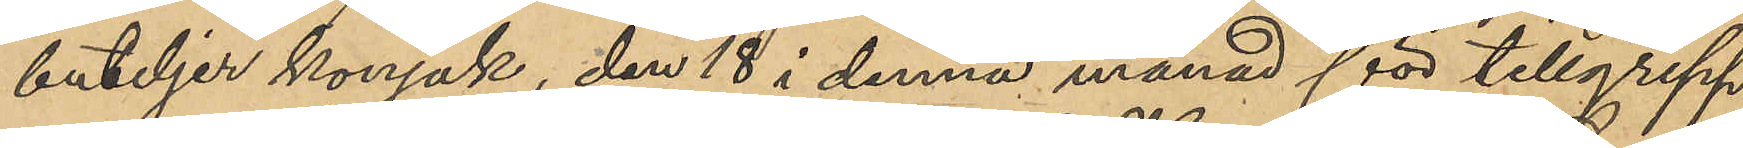buteljer konjak, den 18 i denna månad för tillgrepp
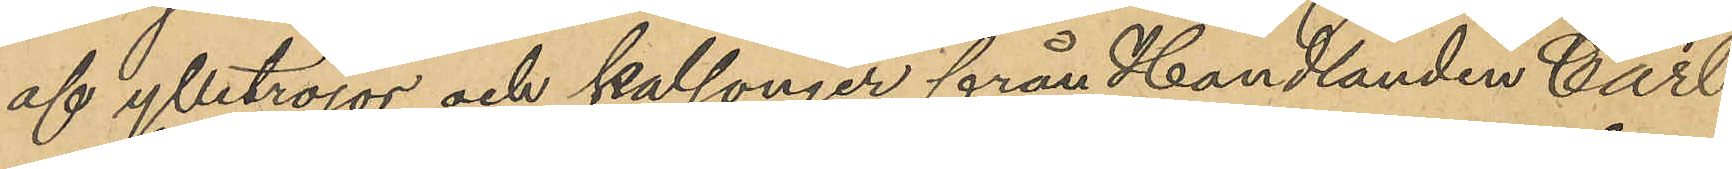af ylletröjor och kalsonger från Handlanden Carl
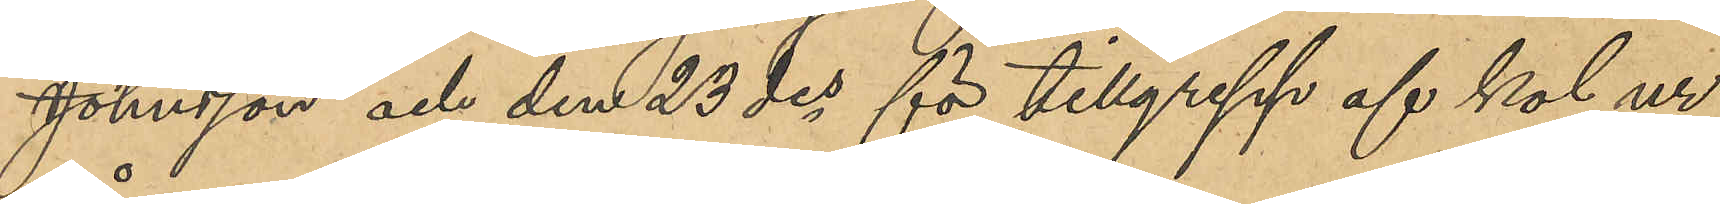Johnsson och den 23 des för tillgrepp af kol ur
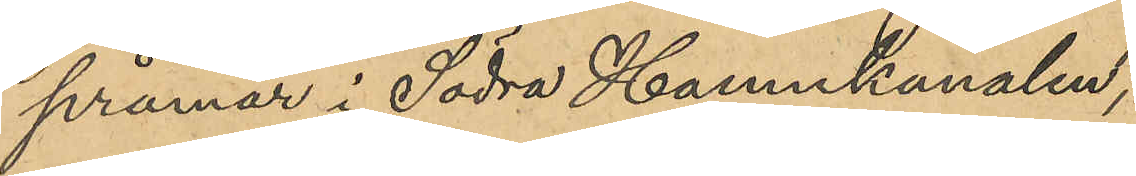pråmar i Södra Hamnkanalen;
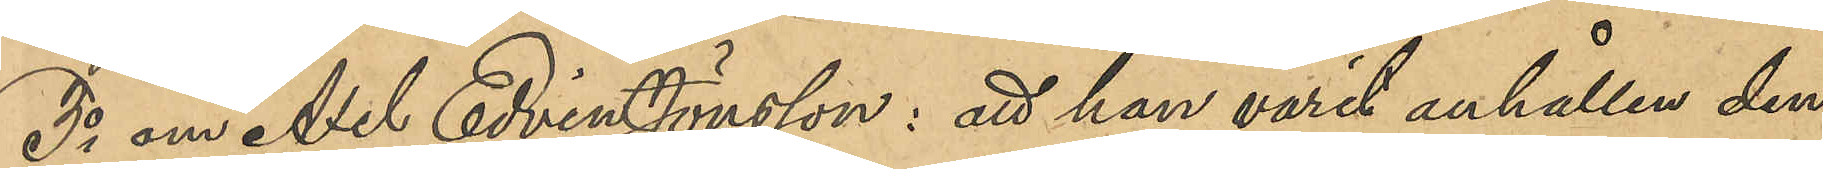3o om Axel Edvin Jönsson: att han varit anhållen den
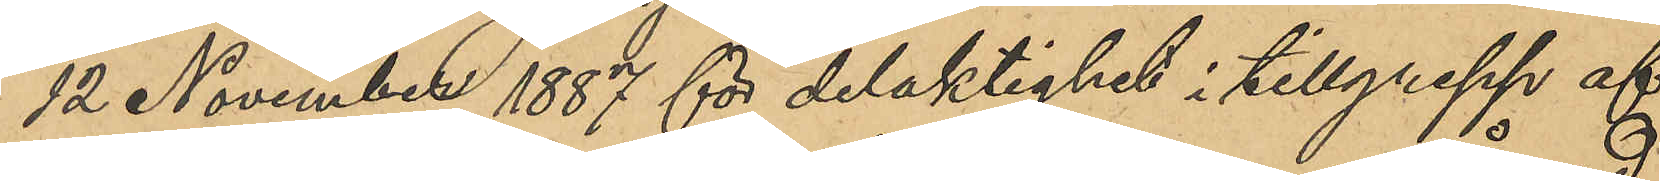12 November 1887 för delaktighet i tillgrepp af
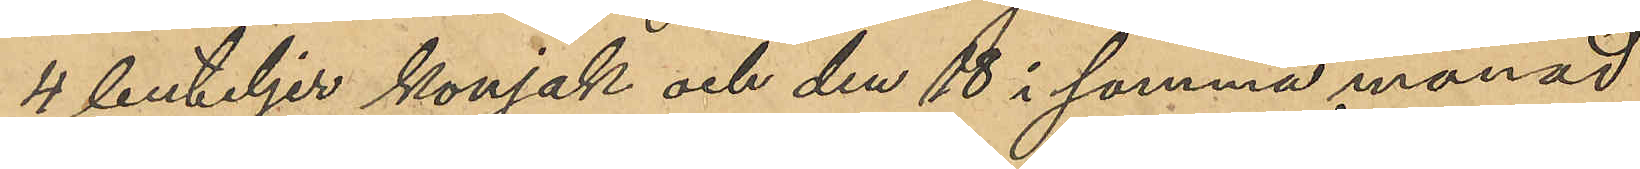4 buteljer konjak och den 18 i samma månad
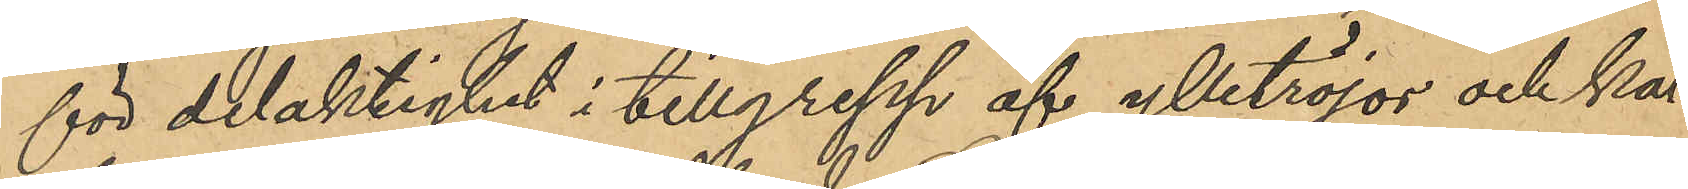för delaktighet i tillgrepp af ylletröjor och kal¬
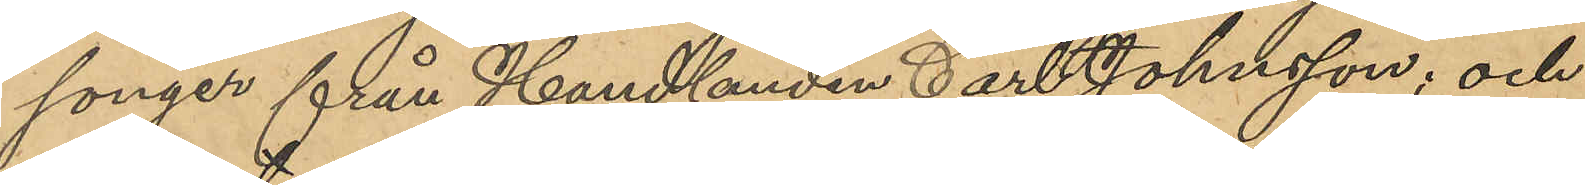songer från Handlanden Carl Johnsson; och
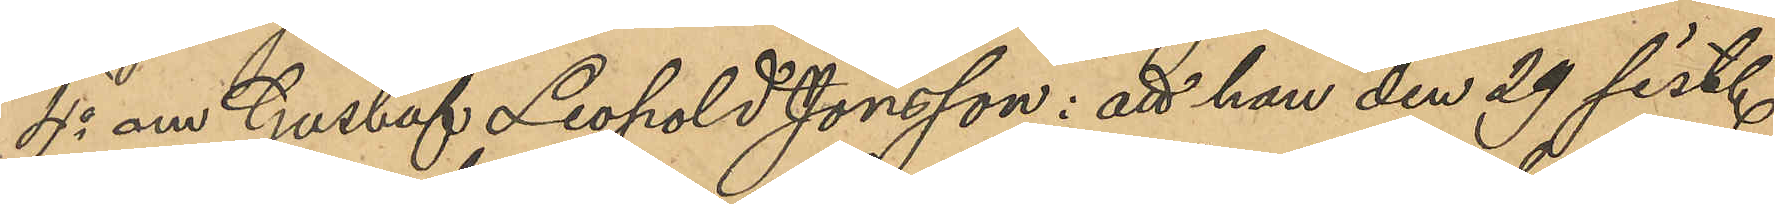4o om Gustaf Leopold Jönsson: att han den 29 sist.
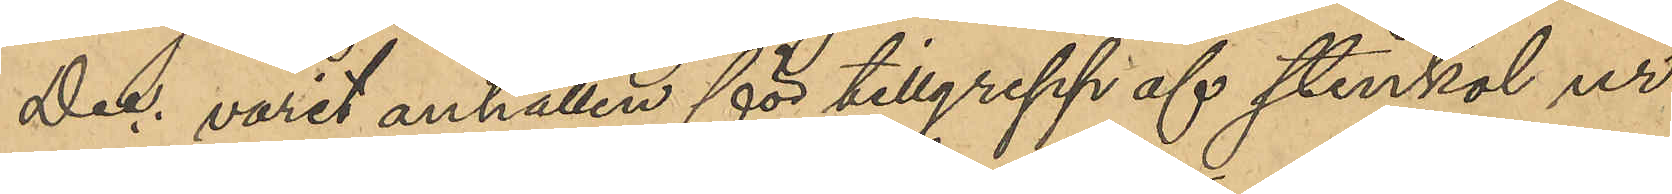Dec. varit anhållen för tillgrepp af stenkol ur
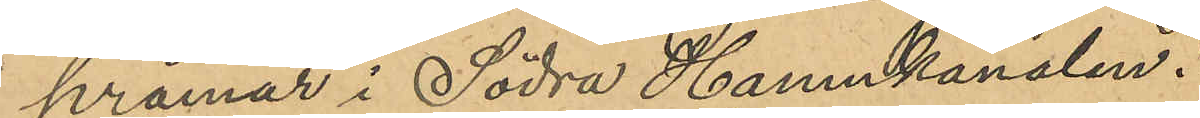pråmar i Södra Hamnkanalen.
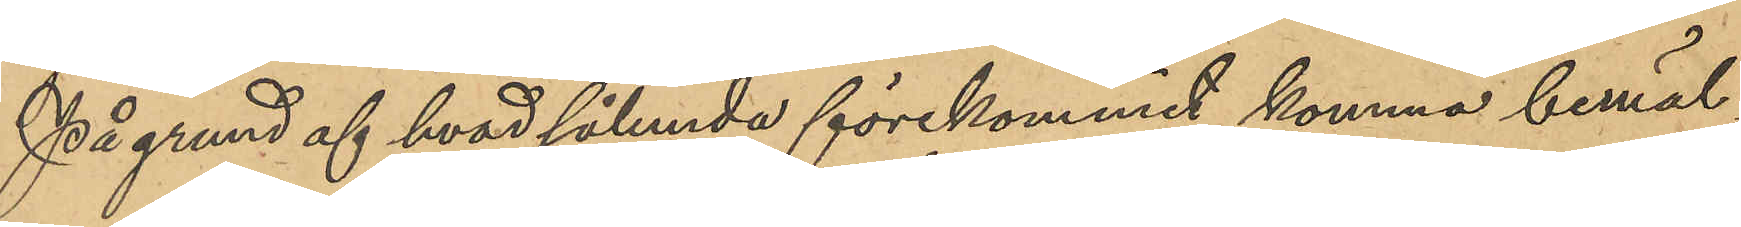På grund af hvad sålunda förekommit komma bemäl¬
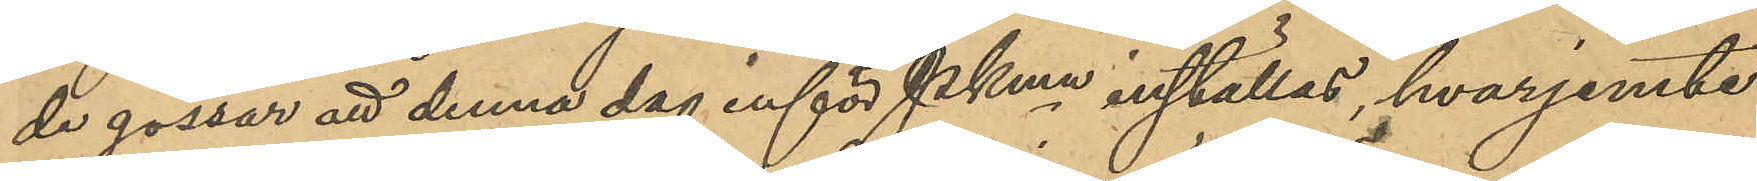de gossar att denna dag inför Pkmn inställas, hvarjemte
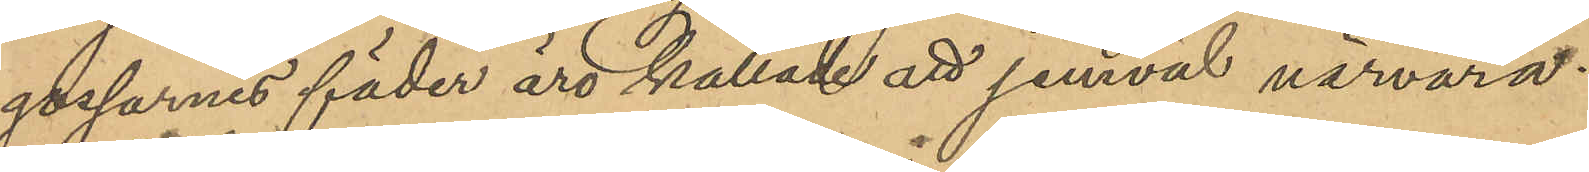gossarnes fäder äro kallade att jemväl närvara.
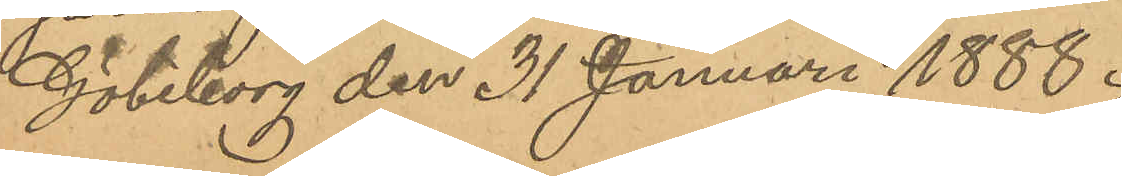Göteborg den 31 Januari 1888.
